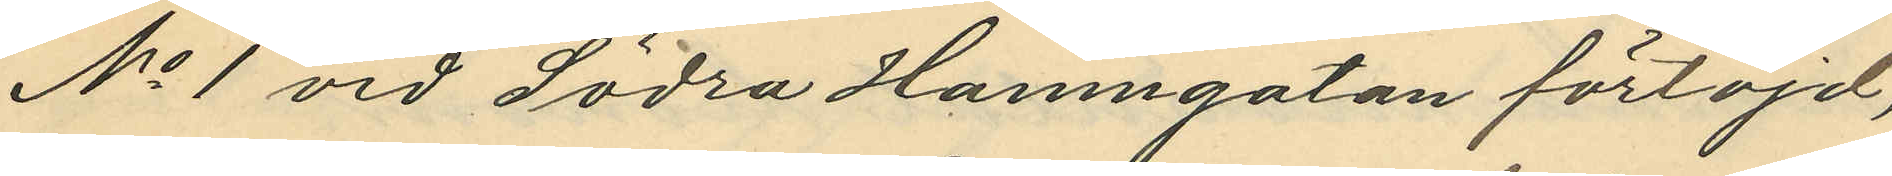No 1 vid Södra Hamngatan förtöjd,
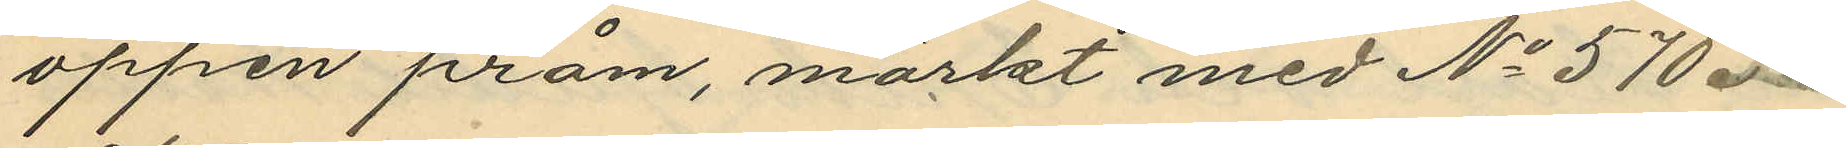öppen pråm, märkt med No 570.
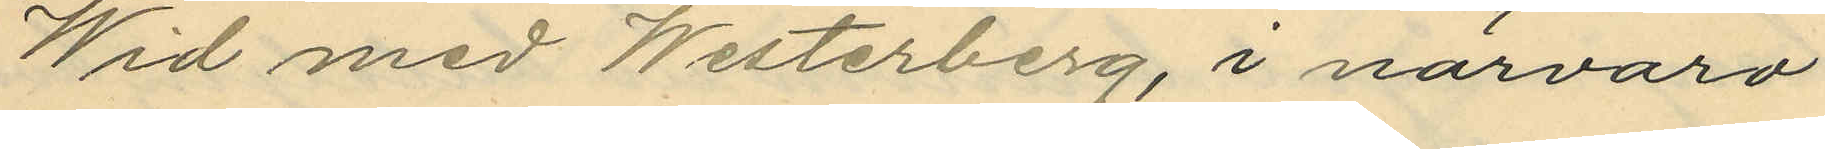Wid med Westerberg, i närvaro
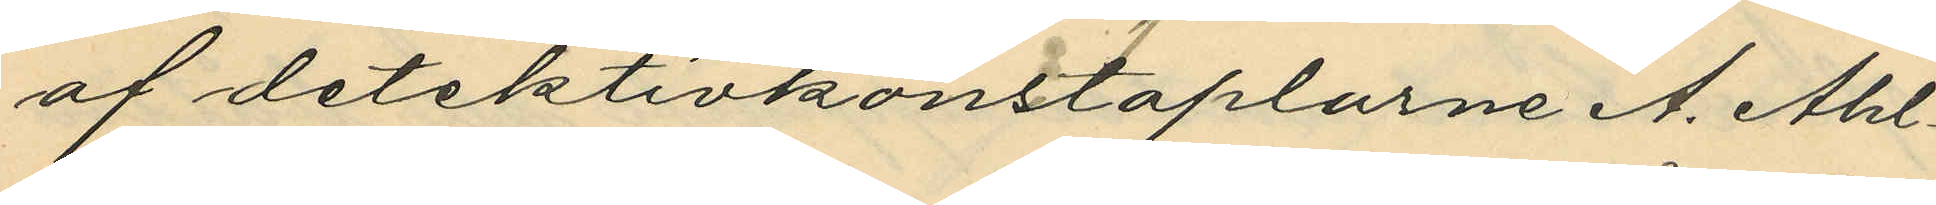af detektivkonstaplarne A. Ahl¬
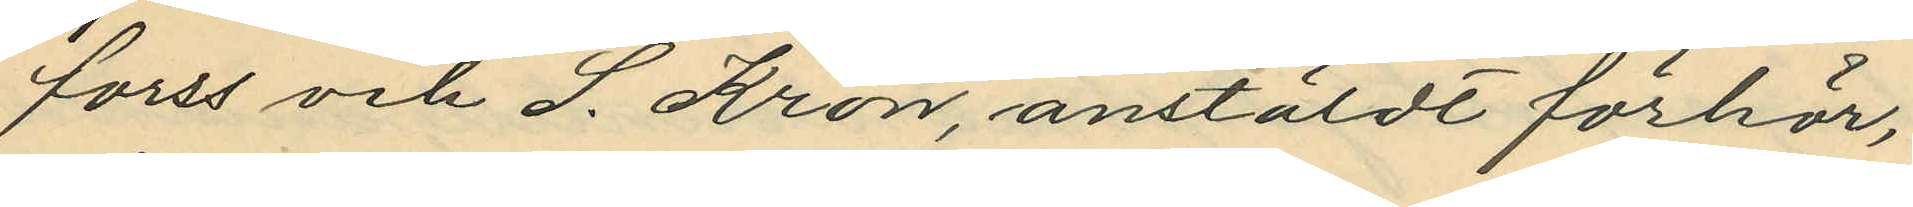forss och S. Kron, anstäldt förhör,
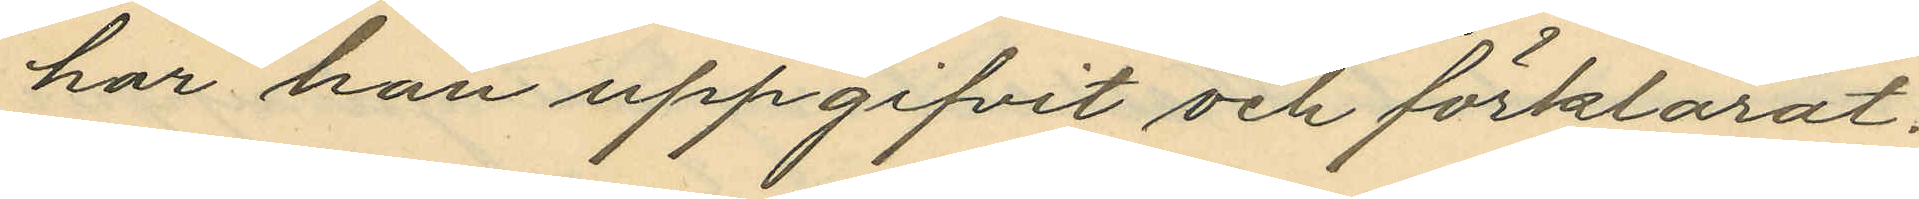har han uppgifvit och förklarat:
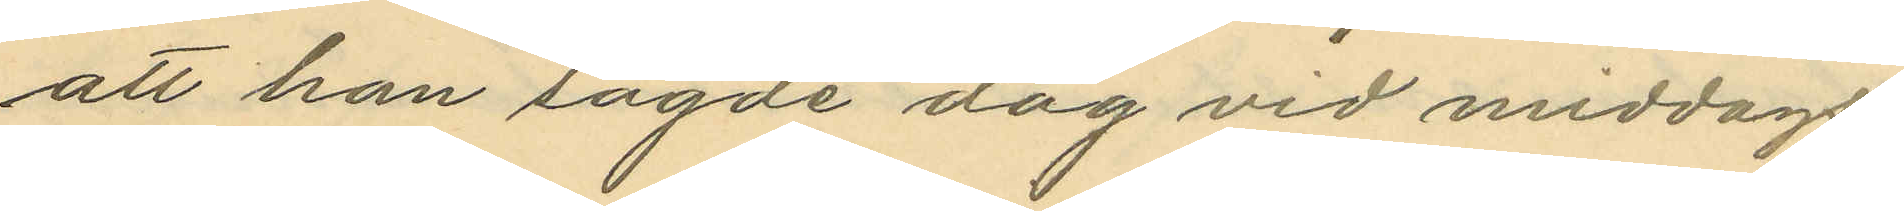att han sagde dag vid middags¬
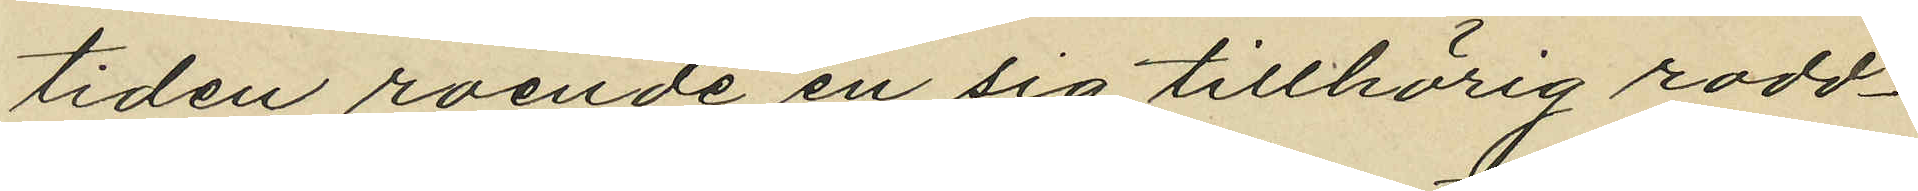tiden roende en sig tillhörig rodd¬
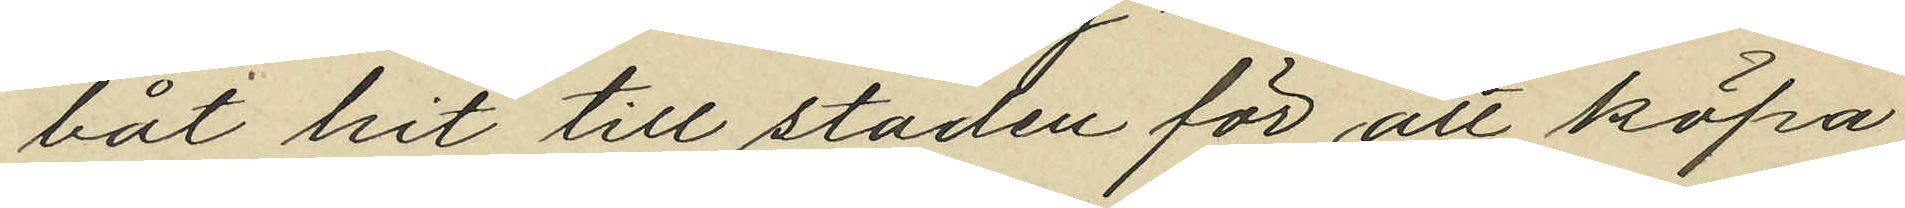båt hit till staden för att köpa
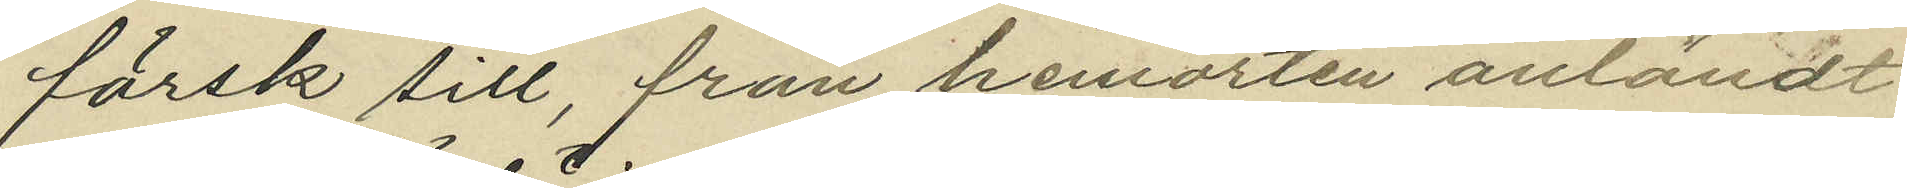färsk sill, från hemorten anländt
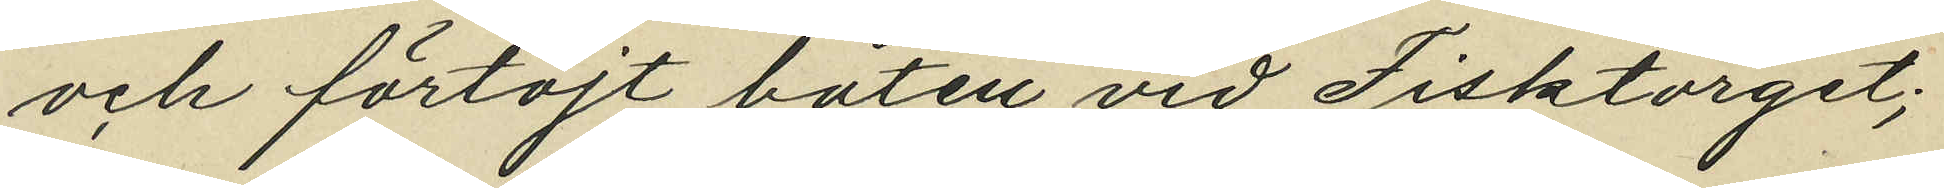och förtöjt båten vid Fisktorget;
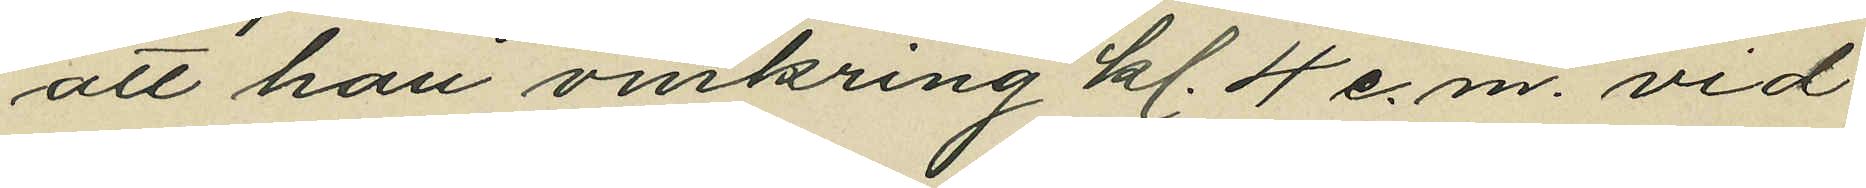att han omkring kl. 4 e.m. vid
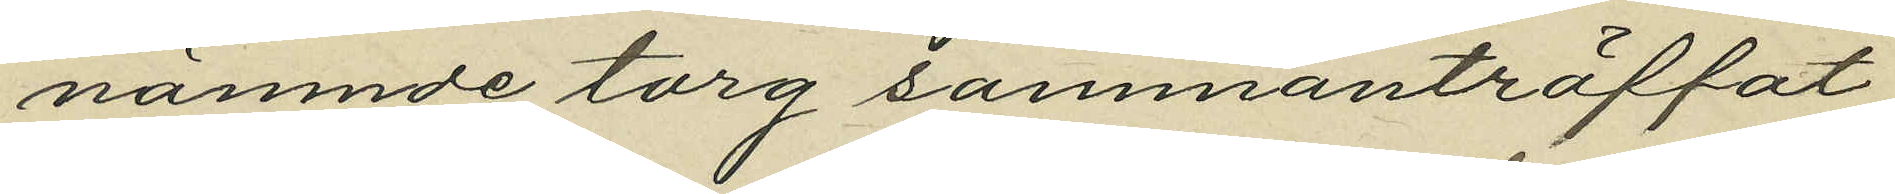nämnde torg sammanträffat
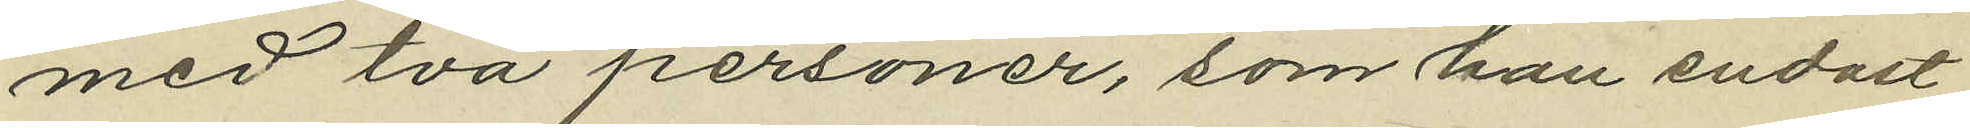med två personer, som han endast
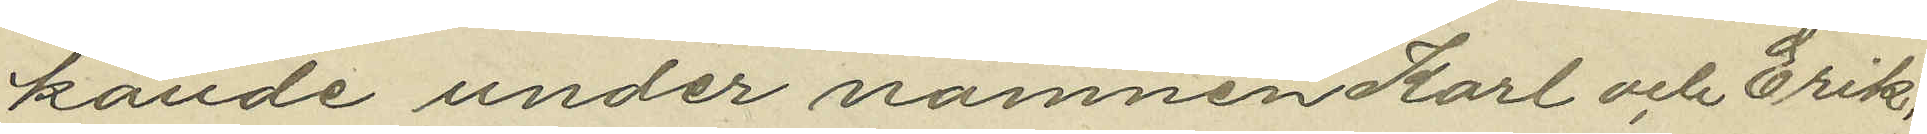kände under namnen Karl och Erik,
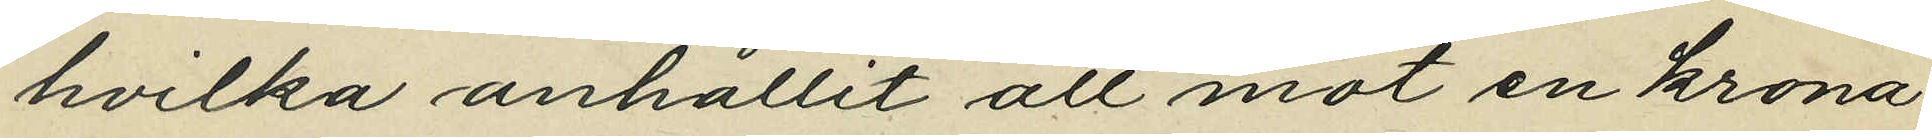hvilka anhållit att mot en krona
